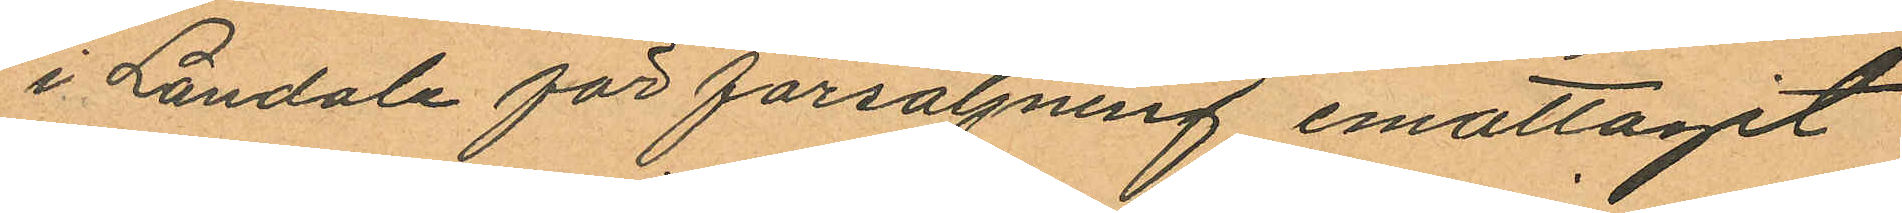i Landala för försäljning emottagit
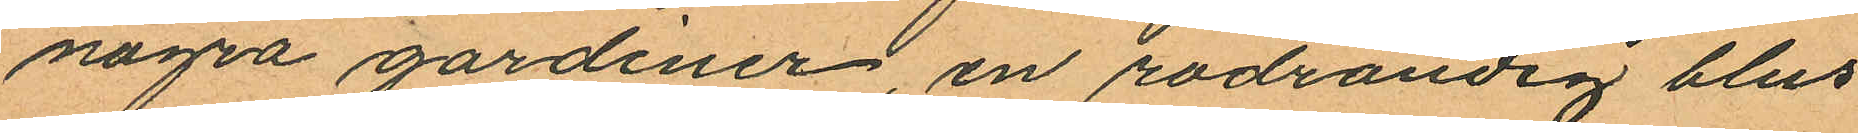några gardiner, en rödrandig blus
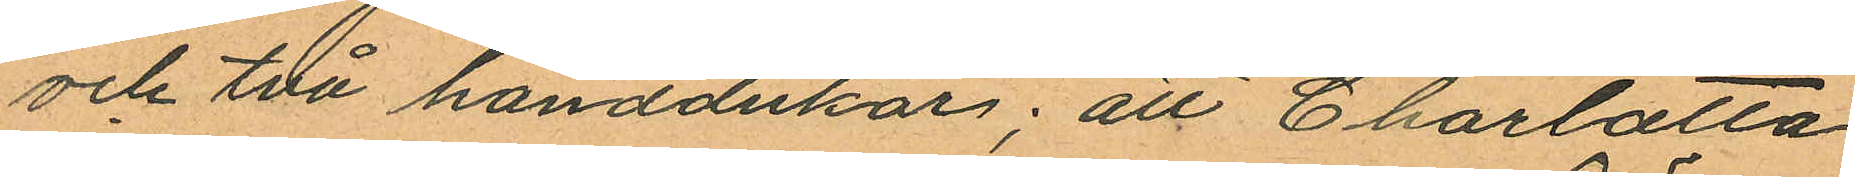och två handdukar; att Charlotta
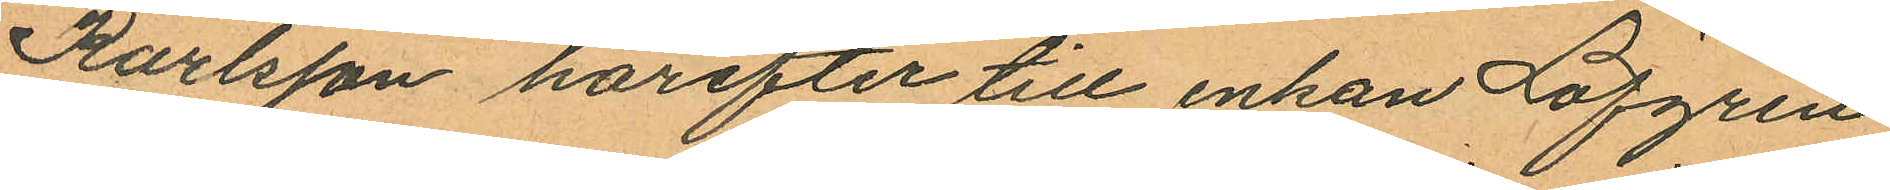Karlsson härefter till enkan Löfgren
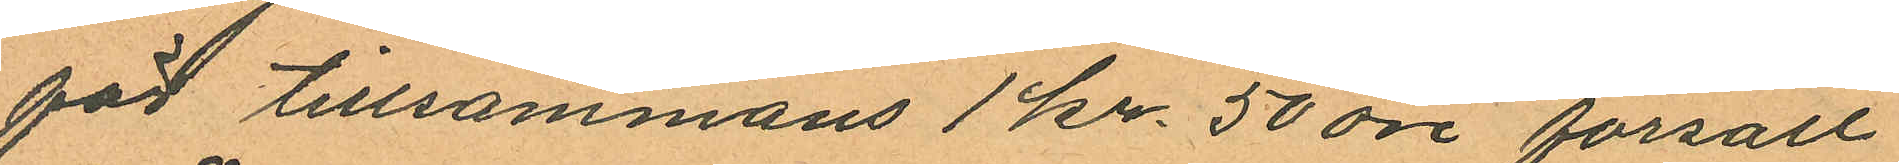för tillsammans 1 kr 50 öre försålt
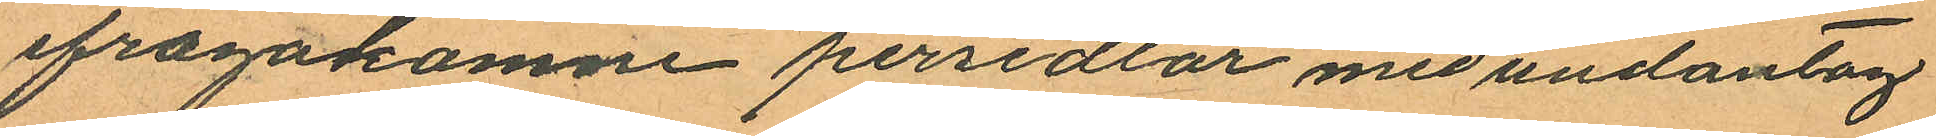ifrågakomne persedlar med undantag
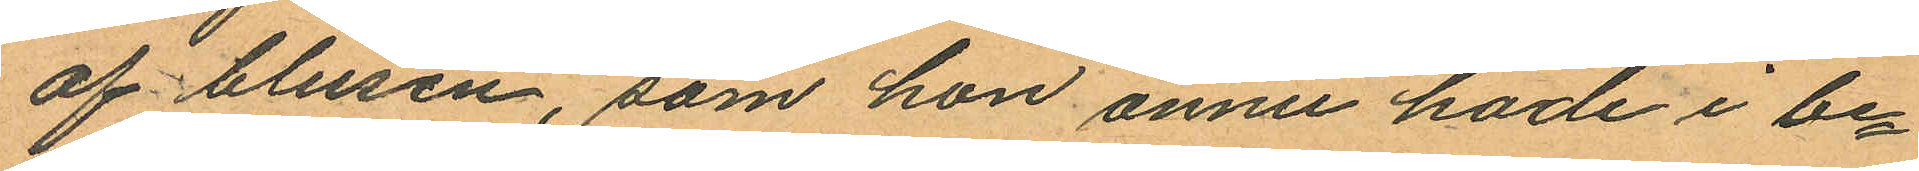af blusen, som hon ännu hade i be¬
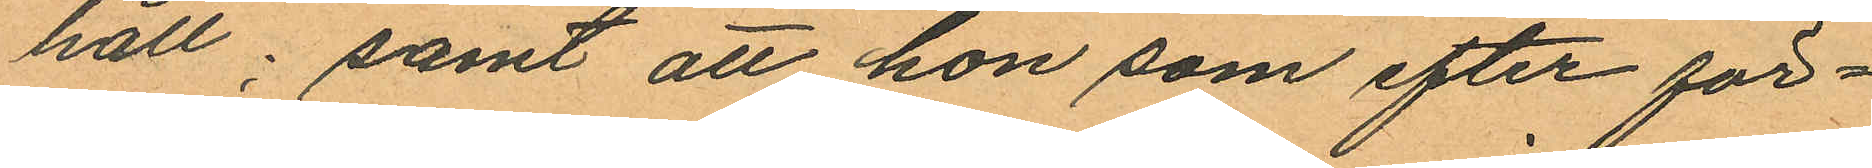håll; samt att hon som efter för¬
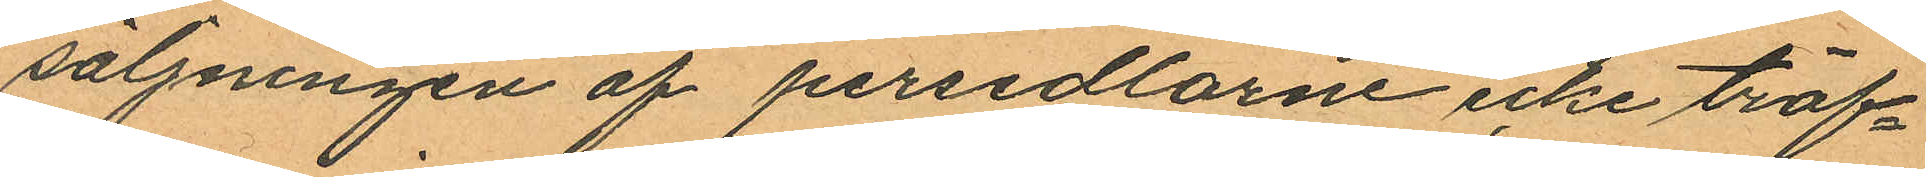säljningen af persedlarne icke träf¬
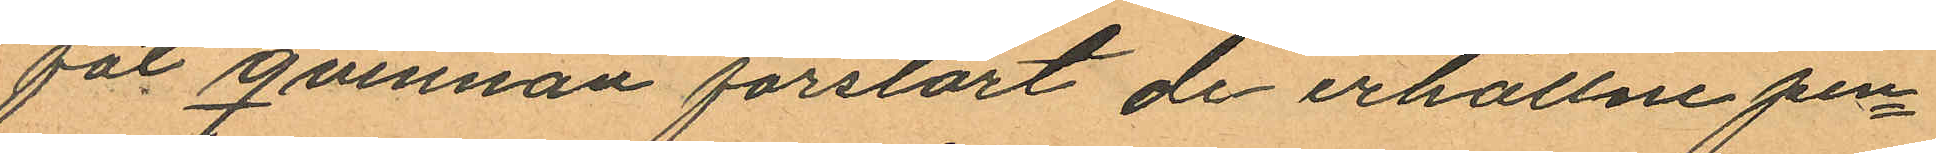fat qvinnan förstört de erhållne pen¬
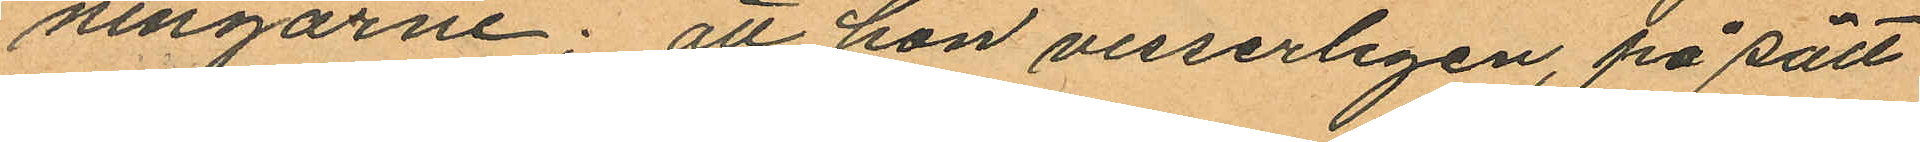ningarne; att hon visserligen, på sätt
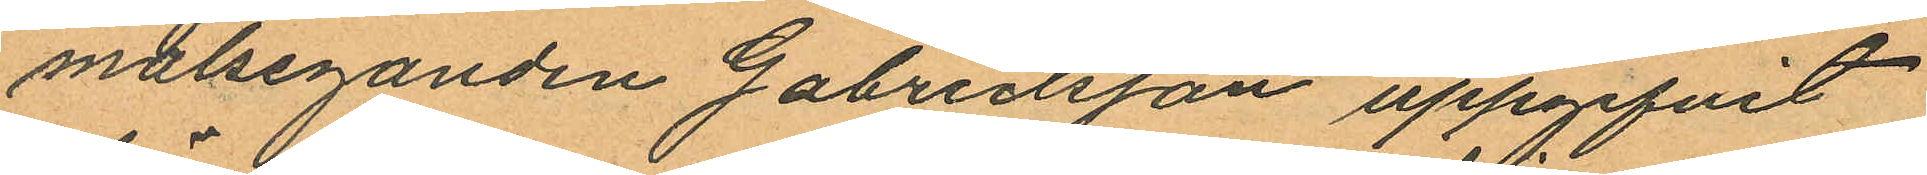målseganden Gabrielsson uppgifvit
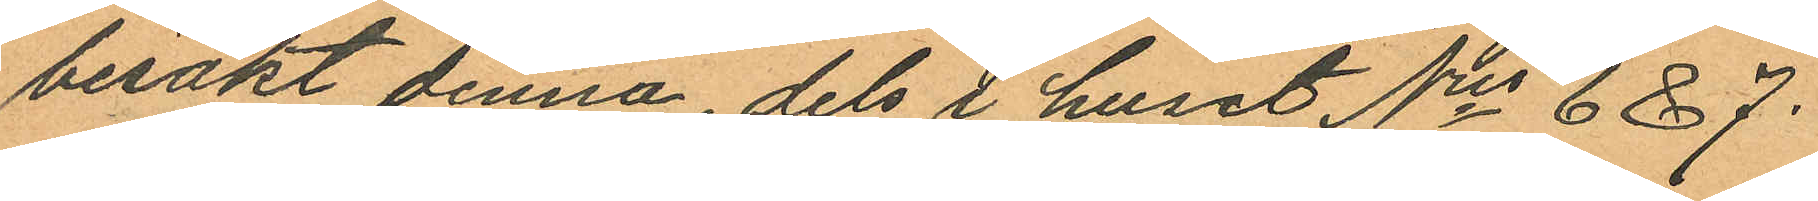besökt denna, dels i huset Nris 6 & 7.
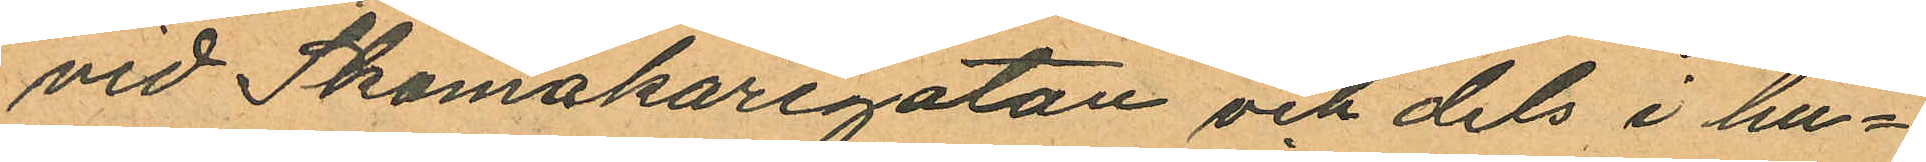vid Skomakaregatan och dels i hu¬
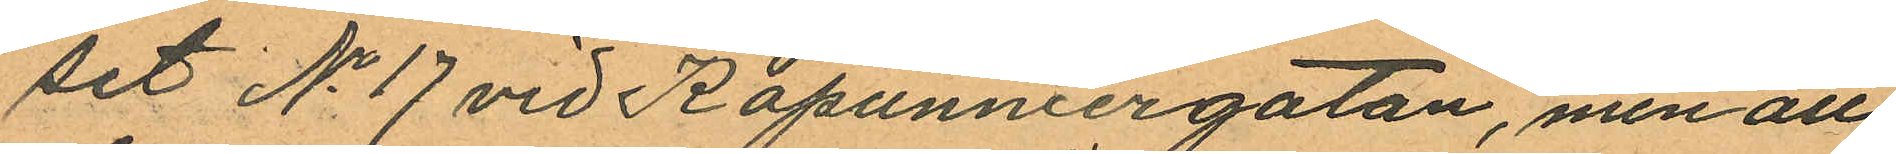set No 17 vid Kapunniergatan, men att
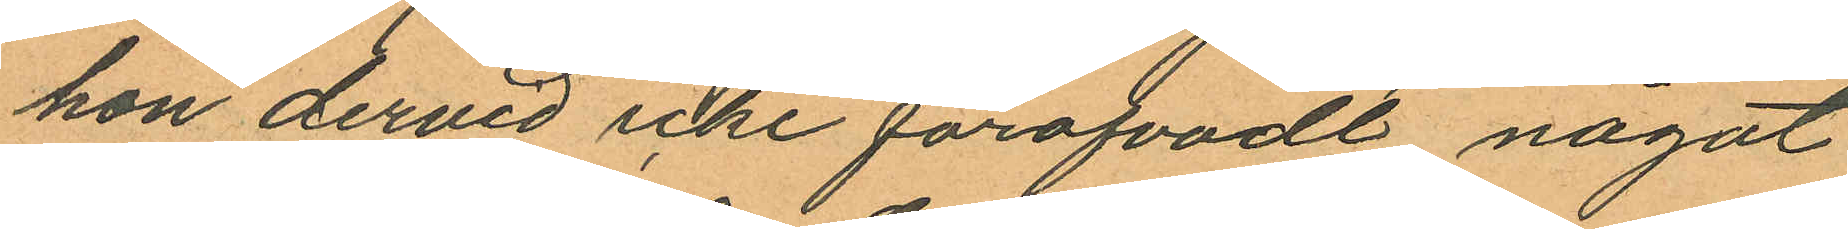hon dervid icke föröfvadt något
